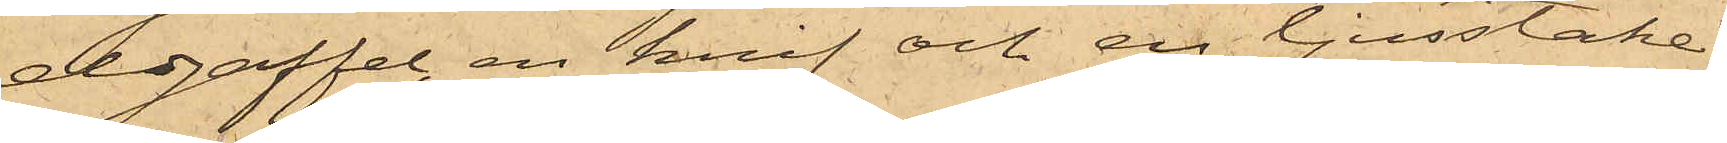eldgaffel, en knif och en ljusstake,
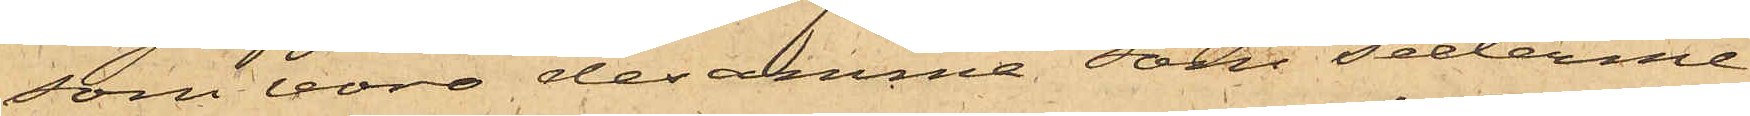som voro desamma, som sederme¬
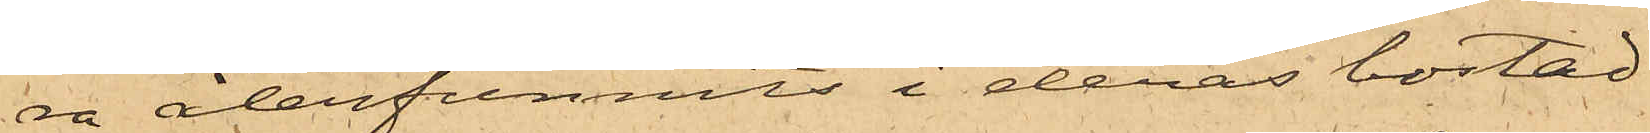ra återfunnits i deras bostad.
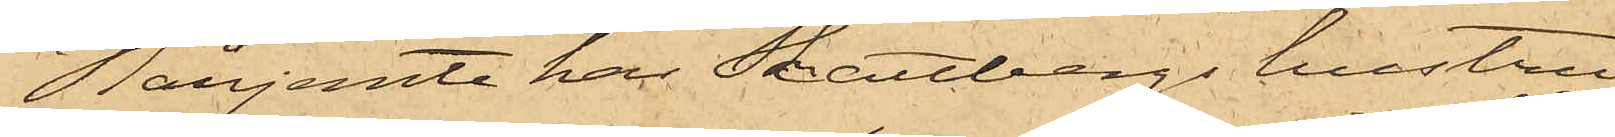Härjemte har Skattbergs hustru
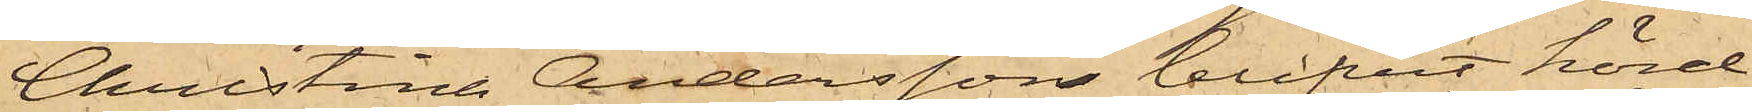Christina Andersson blifvit hörd
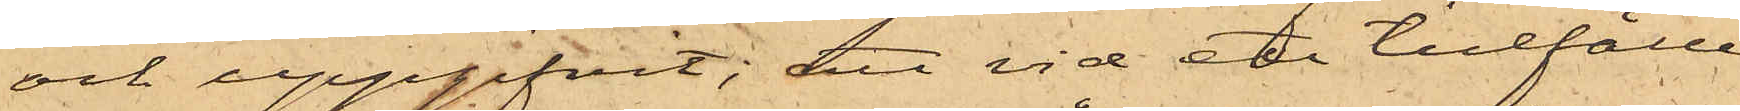och uppgifvit; att vid ett tillfälle
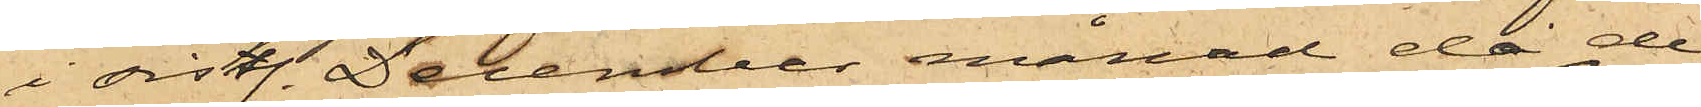i sistl. December månad, då de
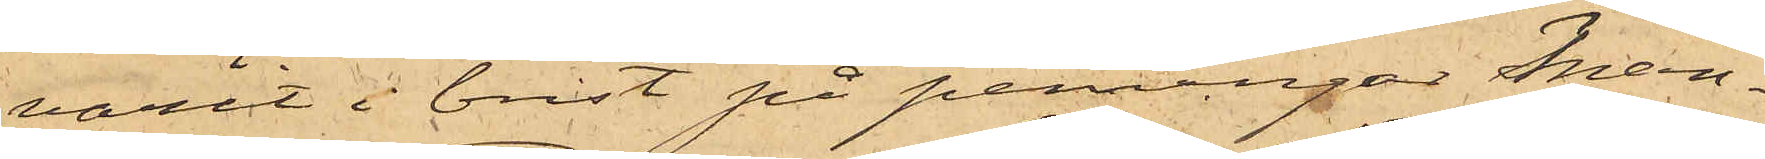varit i brist på penningar Man¬
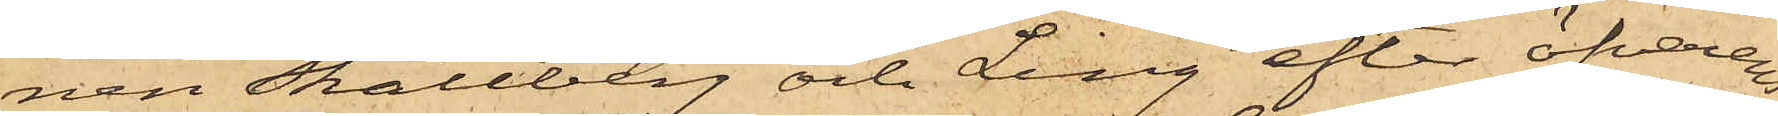nen Skattberg och Ling efter öfverens¬
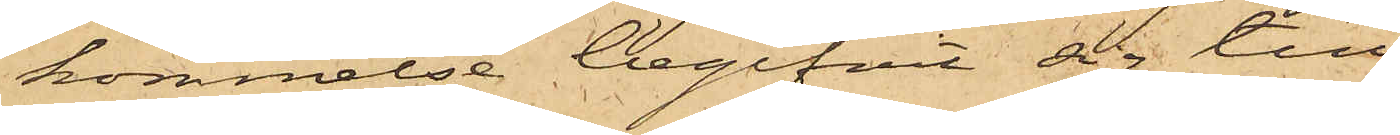kommelse begifvit sig till
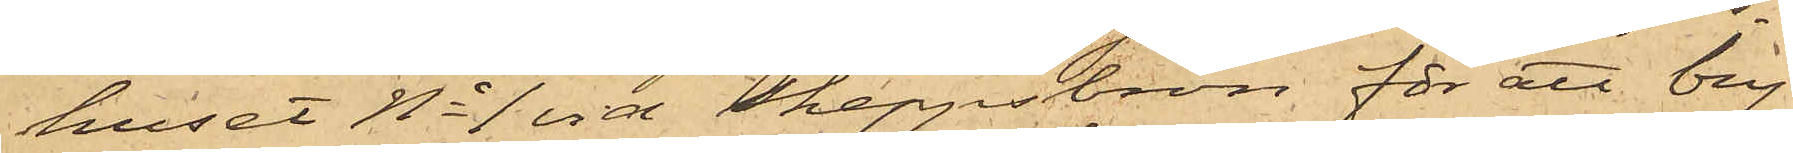huset No 1 vid Skeppsbron för att bry¬
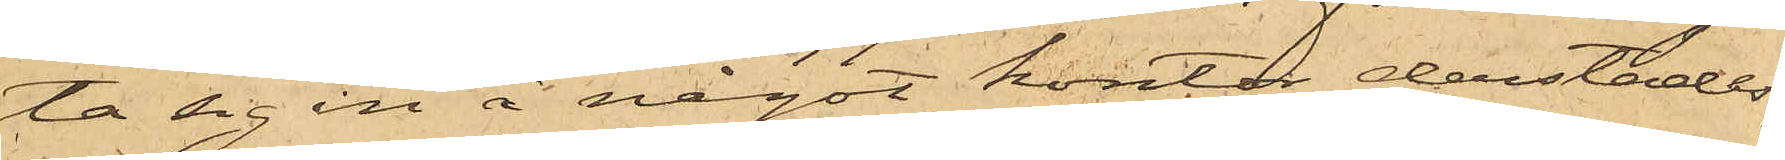ta sig in å något kontor derstädes,
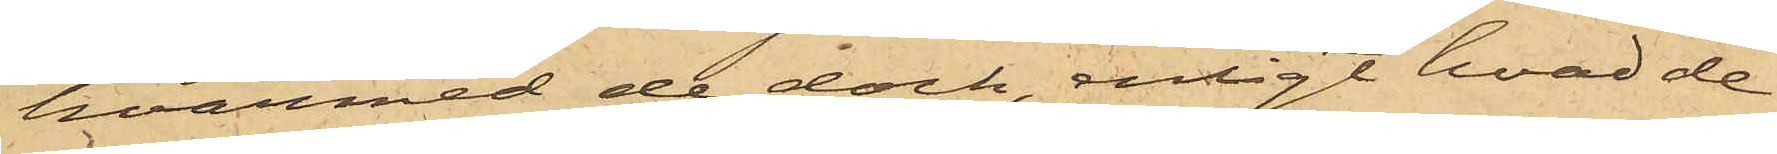hvarmed de dock, enligt hvad de
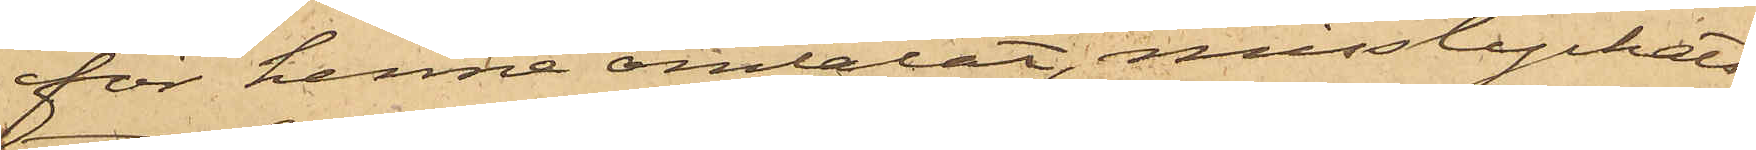för henne omtalat, misslyckats;
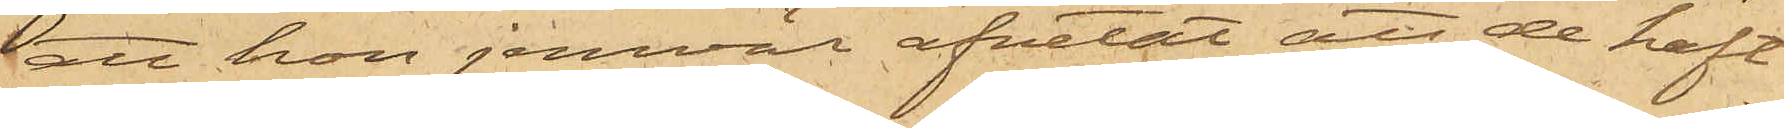att hon jemväl afvetat att de haft
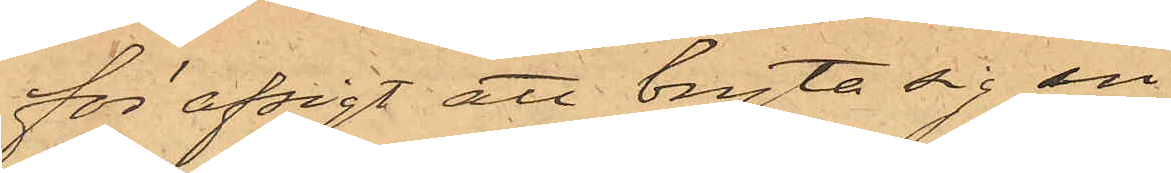för afsigt att bryta sig in
